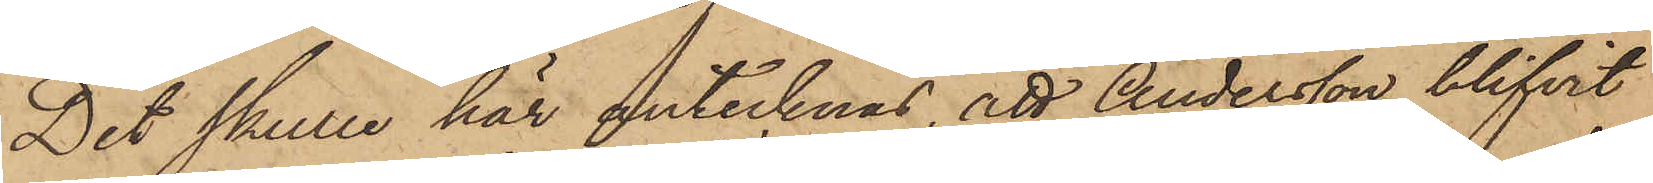Det skulle här antecknas att Andersson blifvit
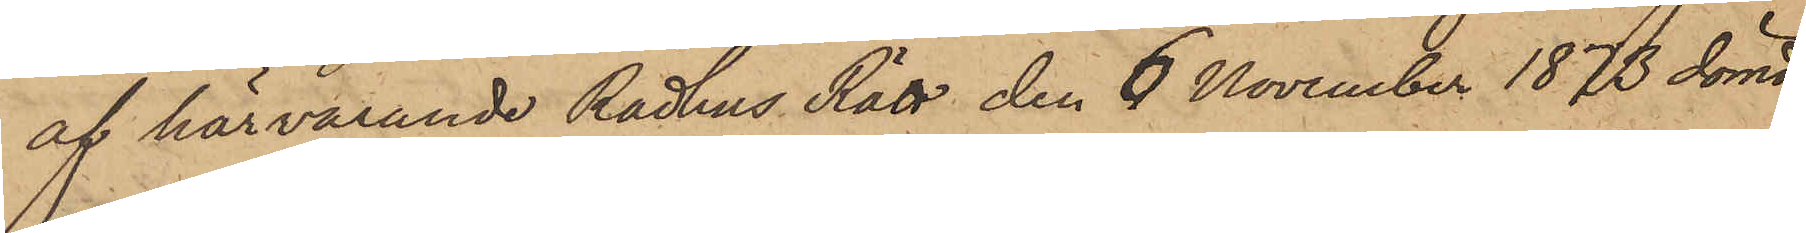af härvarande Rådhus Rätt den 6 November 1873 dömd
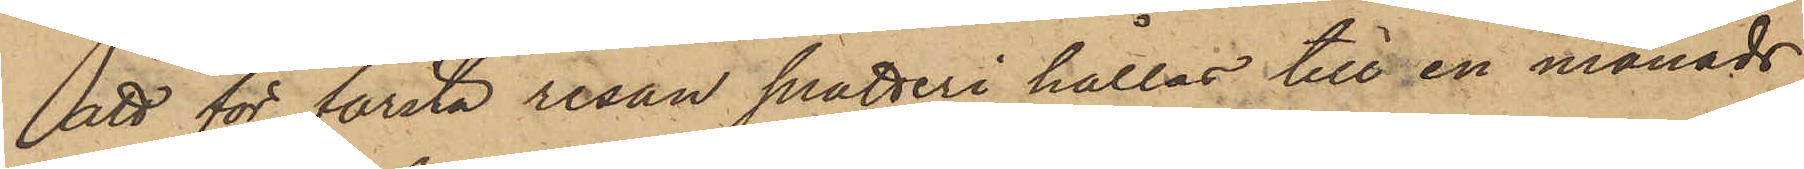att för första resan snatteri hållas till en månads
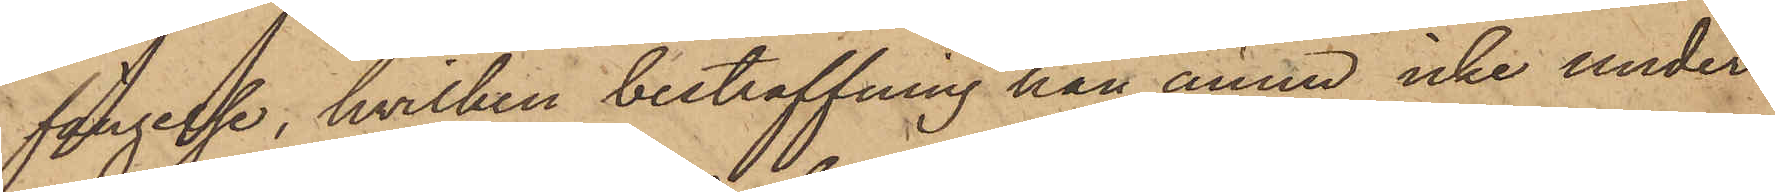fängelse, hvilken bestraffning han ännu icke under¬
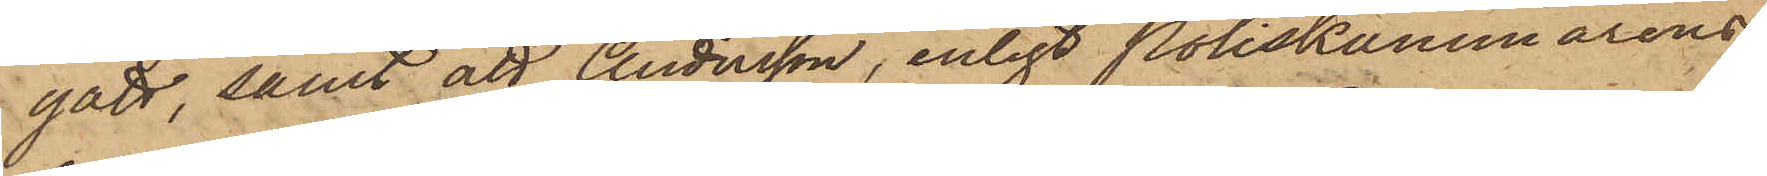gått, samt att Andersson, enligt Poliskammarens
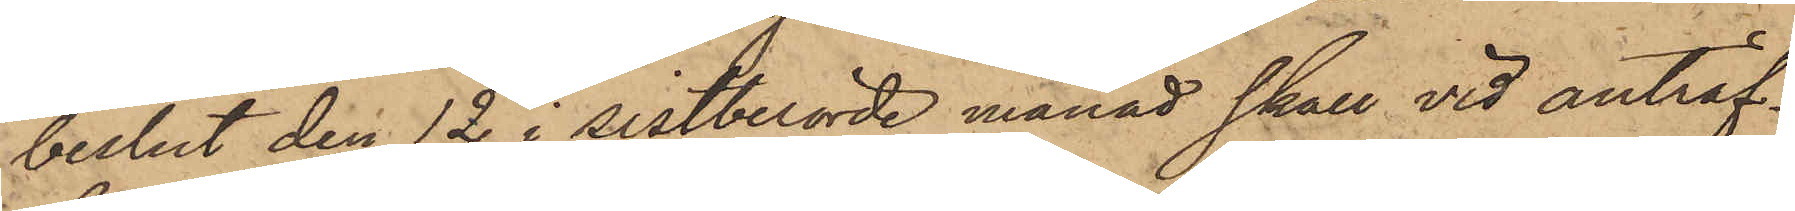beslut den 12 i sistberörde månad skall vid anträf¬
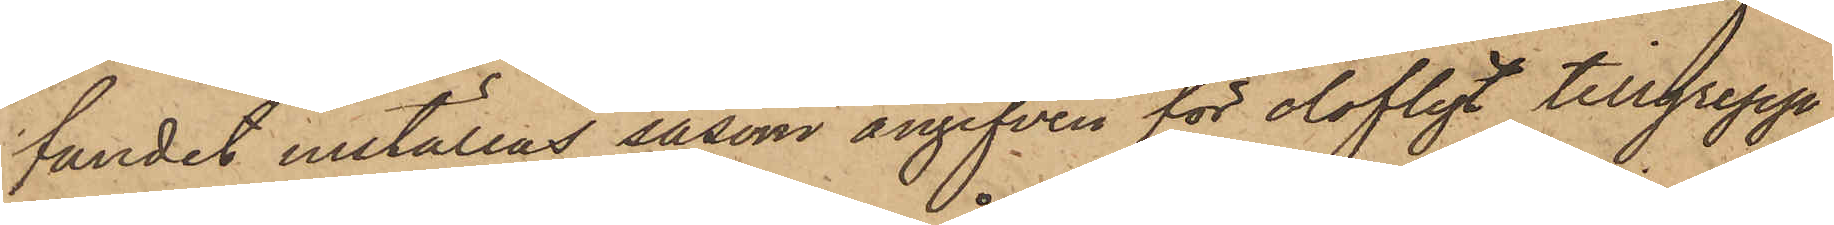fandet inställas såsom angifven för olofligt tillgrepp
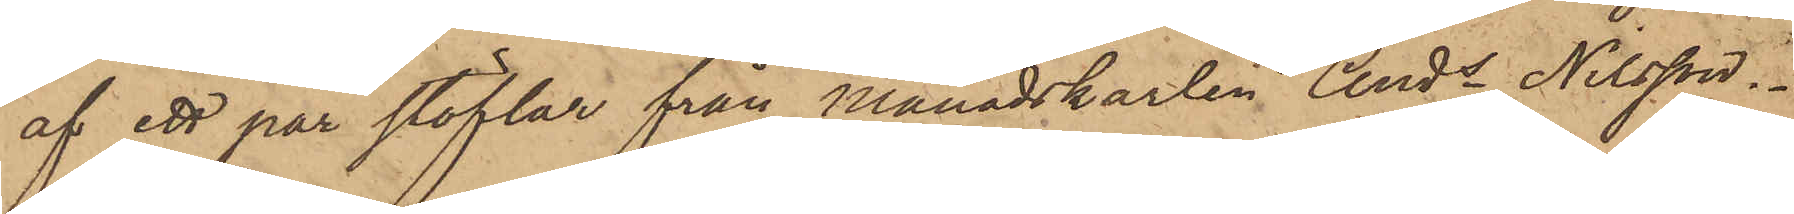af ett par stöflar från Månadskarlen Ands Nilsson.
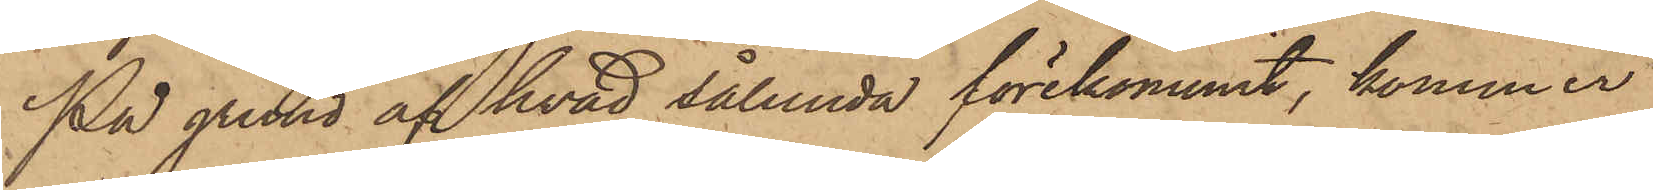På grund af hvad sålunda förekommit, kommer
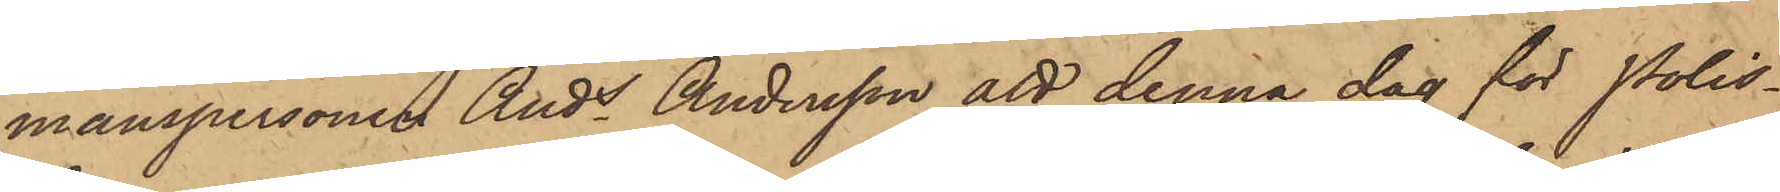manspersonen Ands Andersson att denna dag för Polis¬
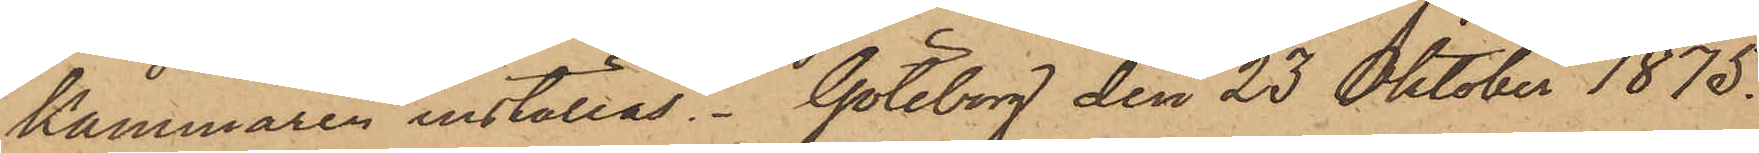kammaren inställas. Göteborg den 23 Oktober 1875.
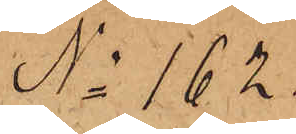No 162.
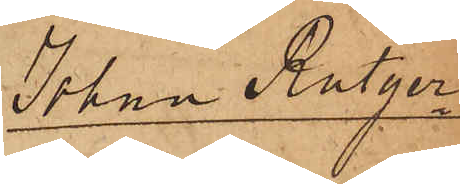Johan Rutger¬
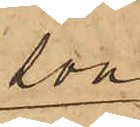son
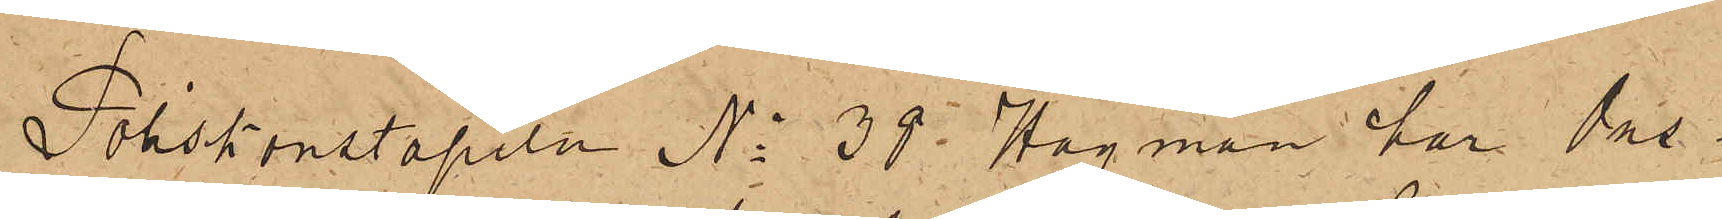Poliskonstapeln No 38 Hagman har Ons¬
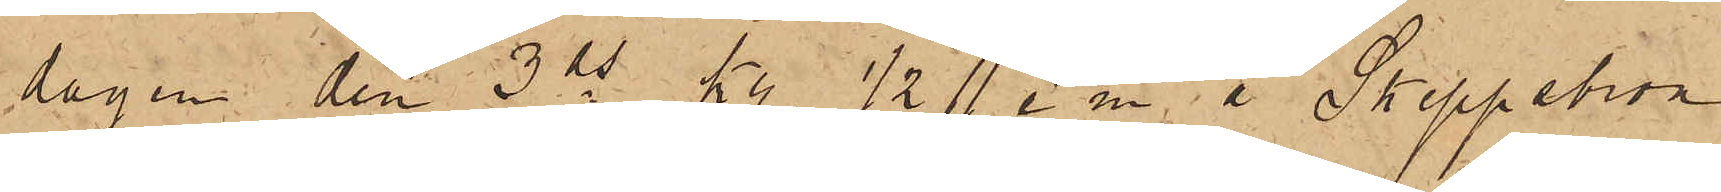dagen den 3 ds kl. 1/2 11 e m å Skeppsbron
